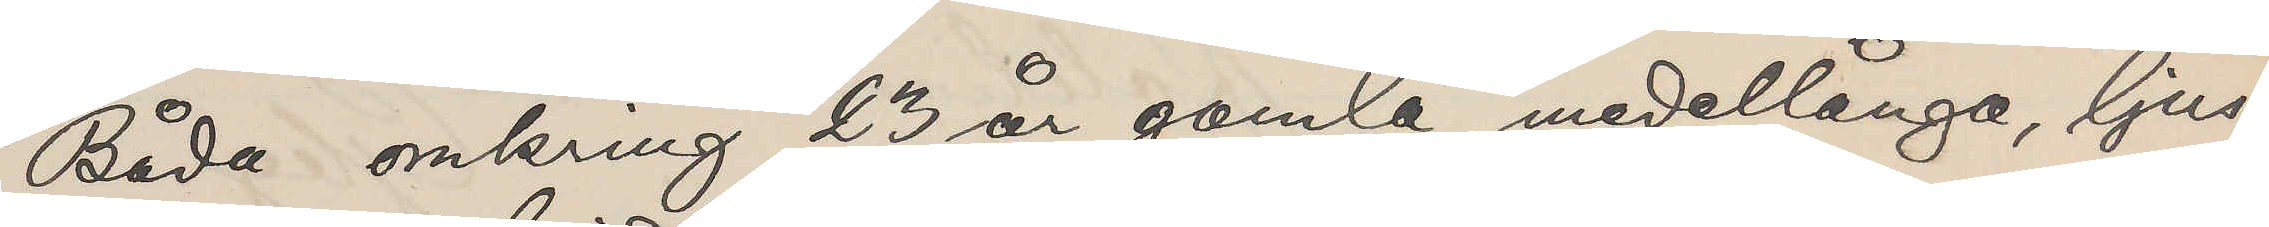Båda omkring 23 år gamla, medellånga, ljus¬
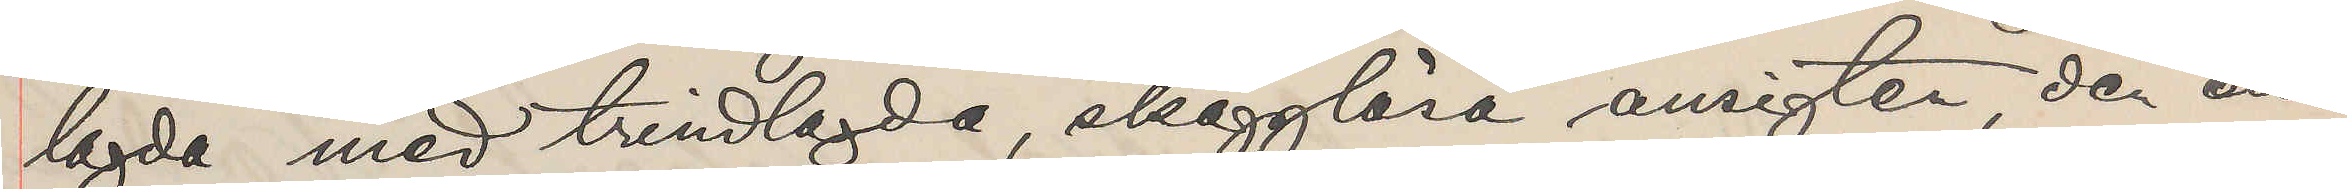lagda med trindlagda, skägglösa ansigten, den ene
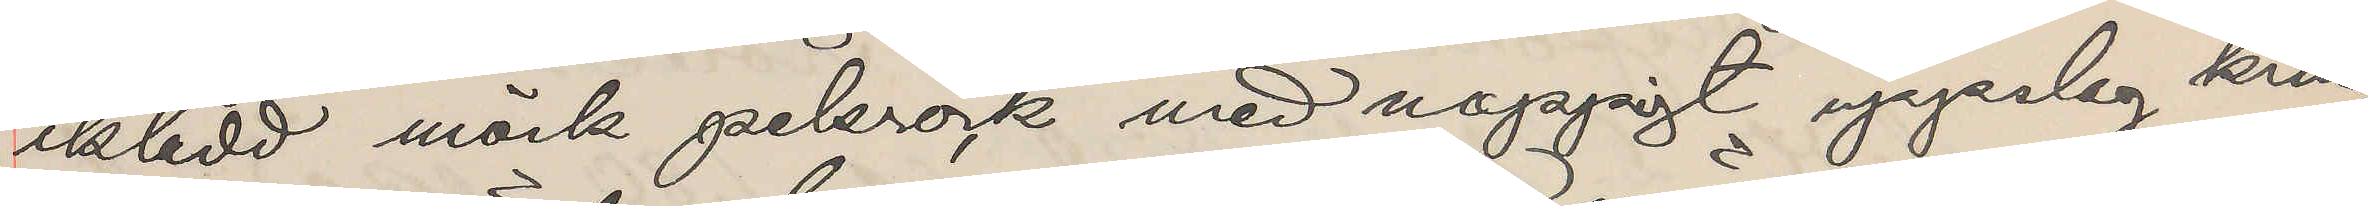iklädd mörk pelsrock med noppigt uppslag kring
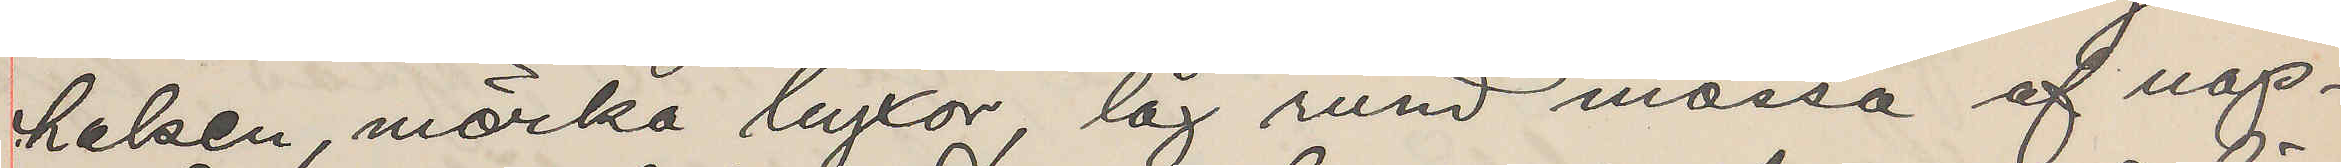halsen, mörka byxor, låg rund mössa af nop¬
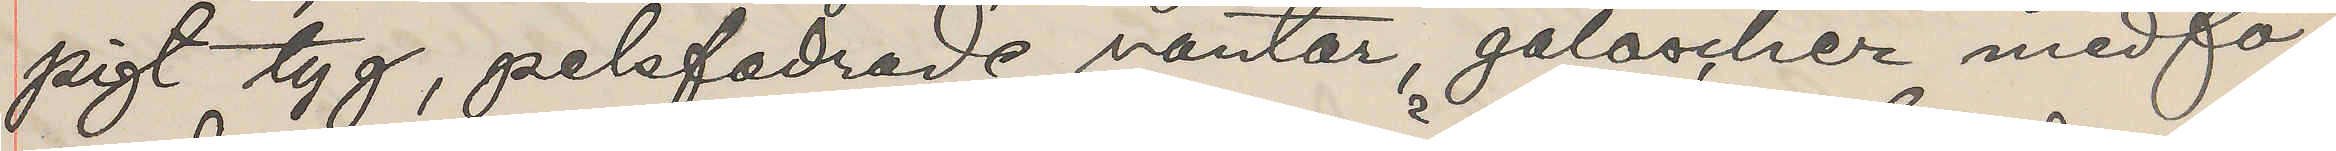pigt tyg, pelsfodrade vantar, galoscher medfö¬
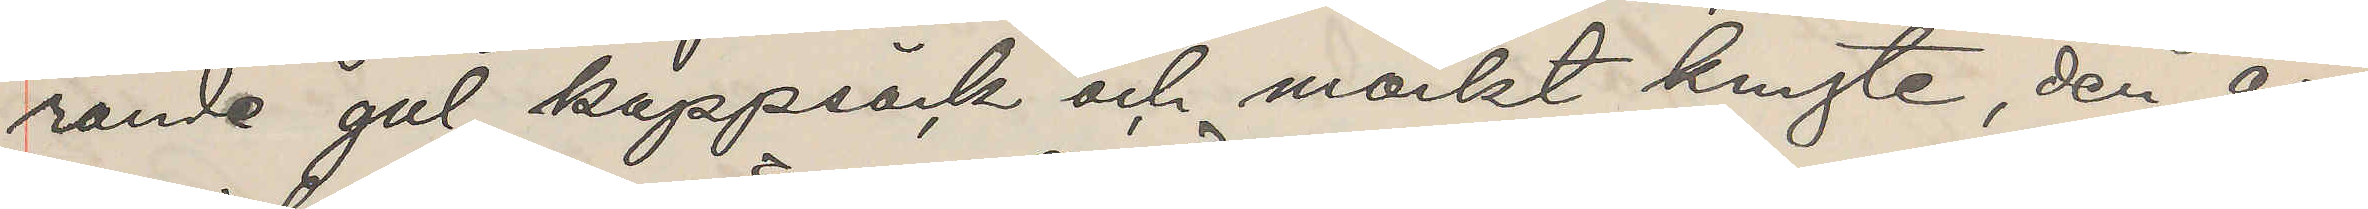rande gul kappsäck och mörkt knyte, den an¬
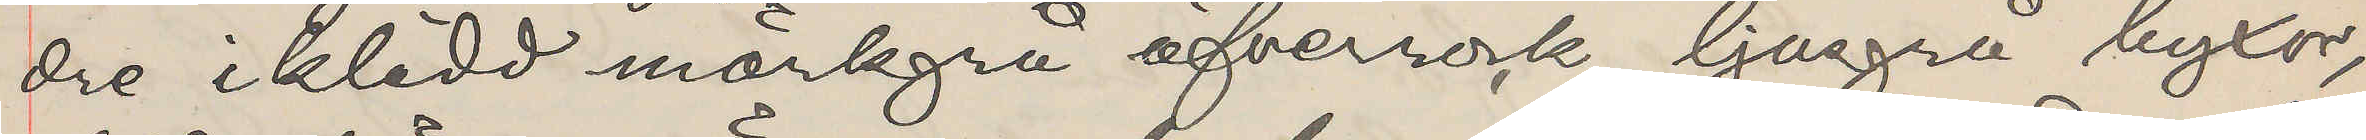dre iklädd mörkgrå öfverrock, ljusgrå byxor,
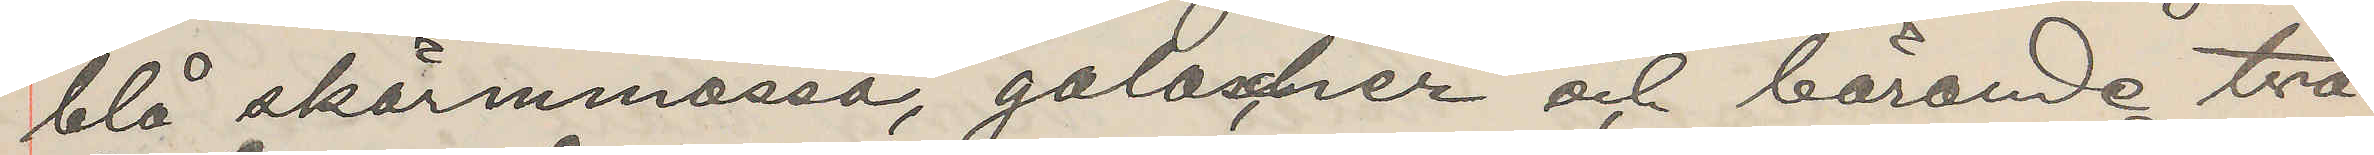blå skärmmössa, galoscher och bärande två
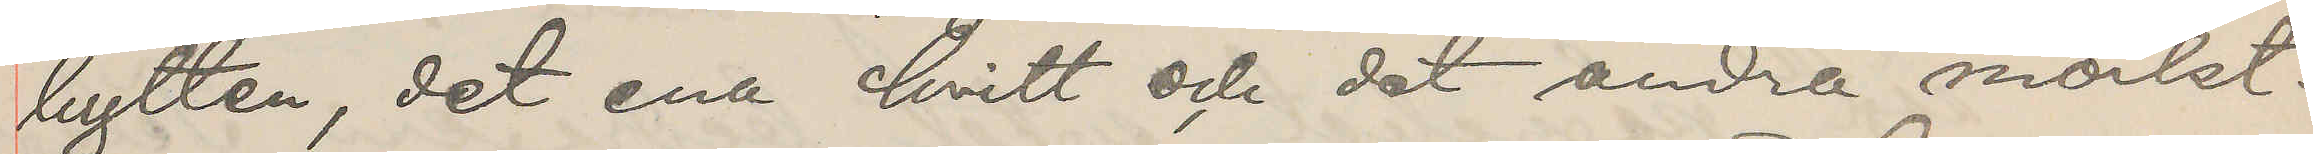bylten, det ena hvitt och det andra mörkt.
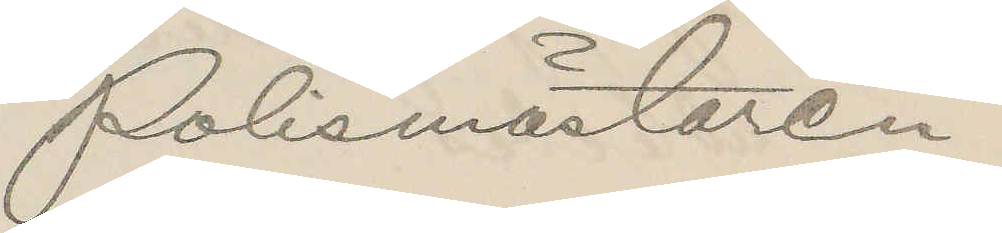Polismästaren
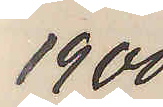1900
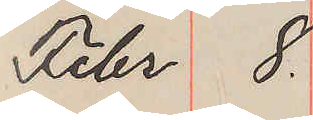Febr 8.
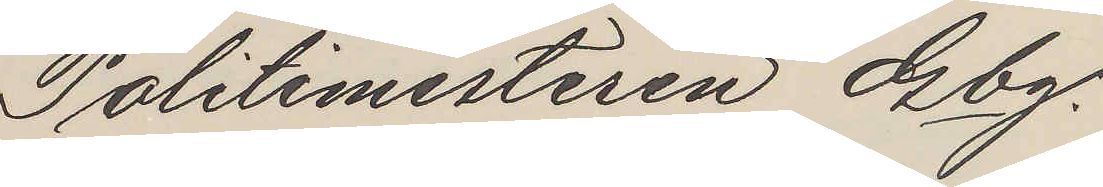Politimesteren Gbg.
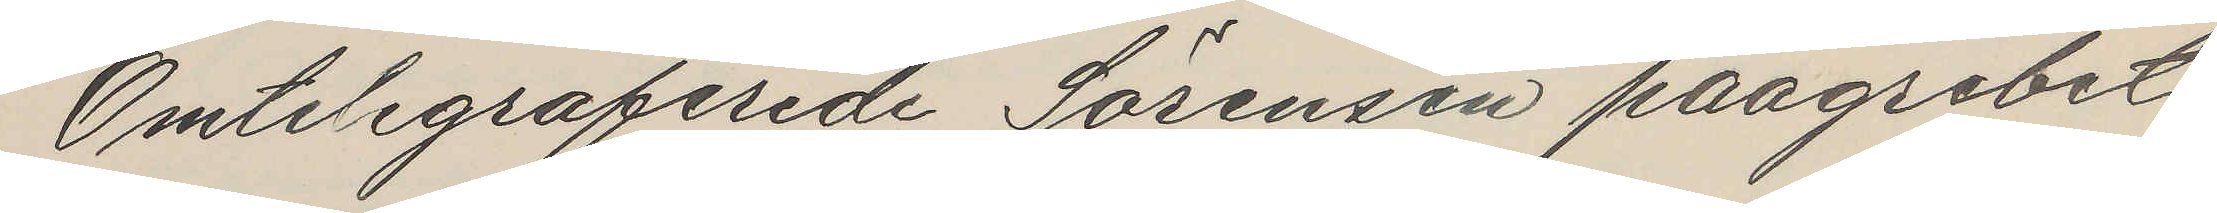Omtelegraferede Sörensen paagrebet
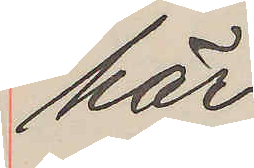här
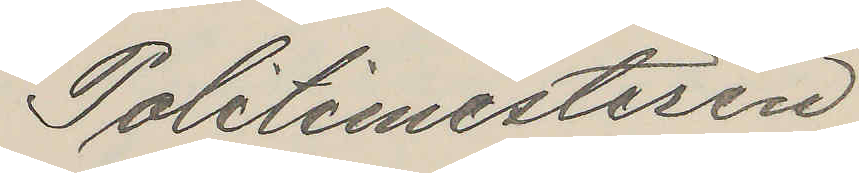Politimesteren
